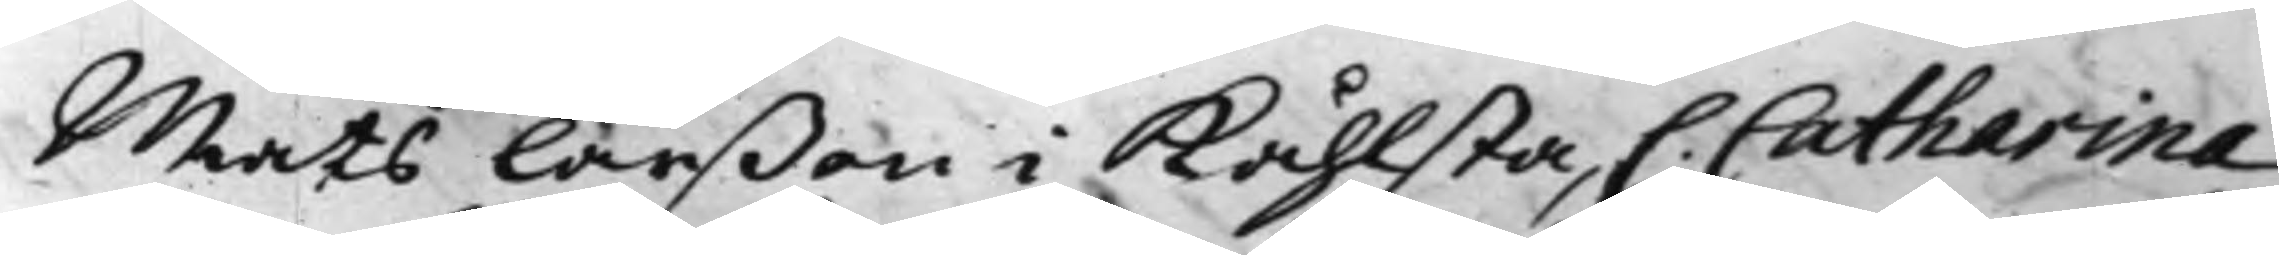Mats Larßon i Kåhlsta, C. Catharina
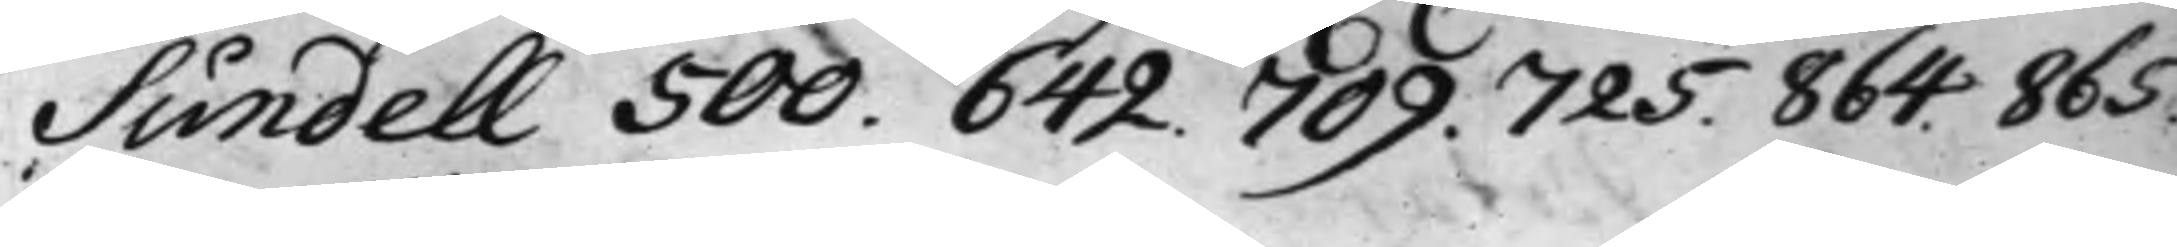Sundell 500. 642. 709. 725. 864. 865.
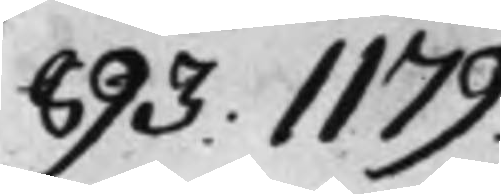893. 1179.
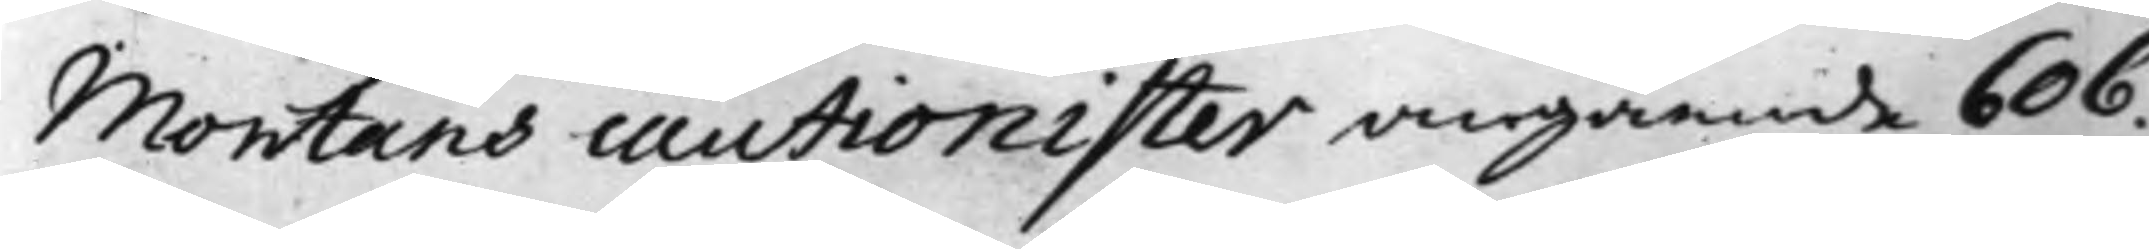Montans cautionister angående 606.
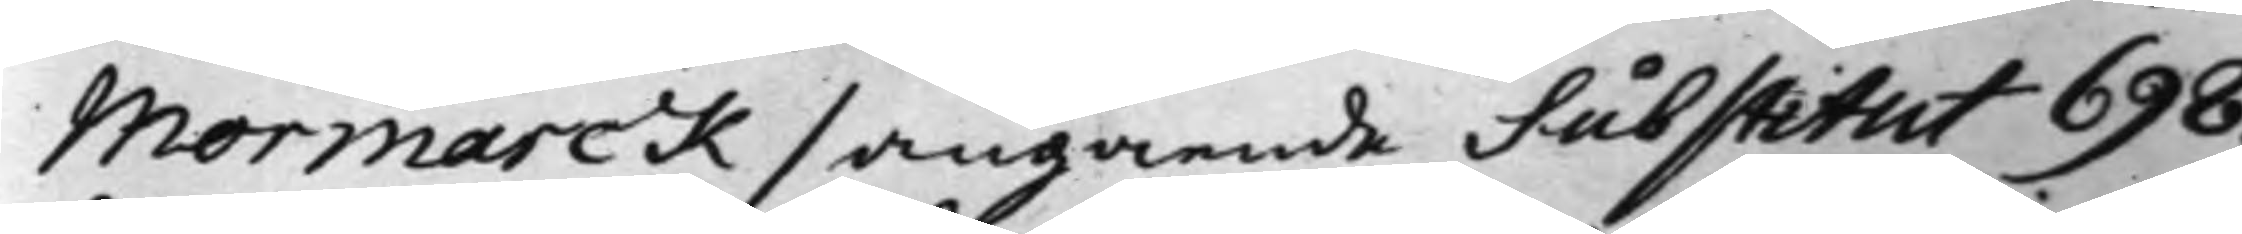Mormarck / angående Substitut 698.
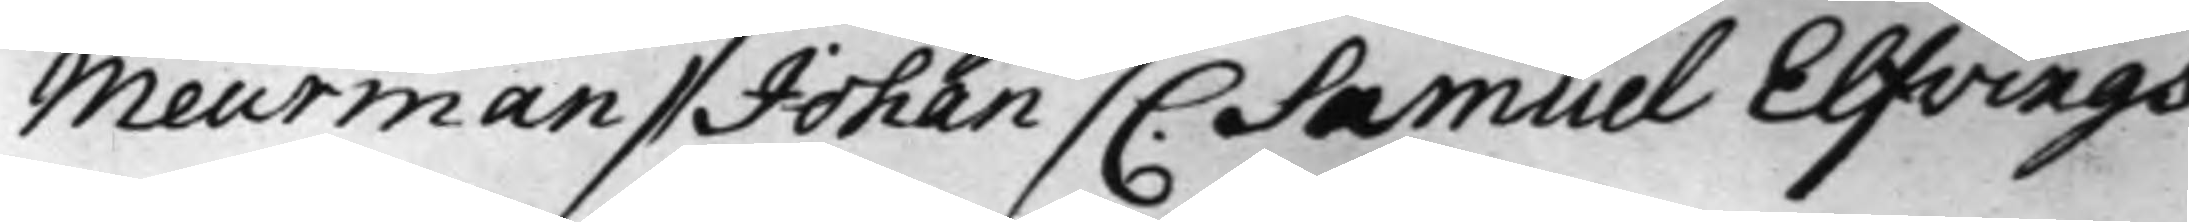Meurman / Johan / C. Samuel Elfvings
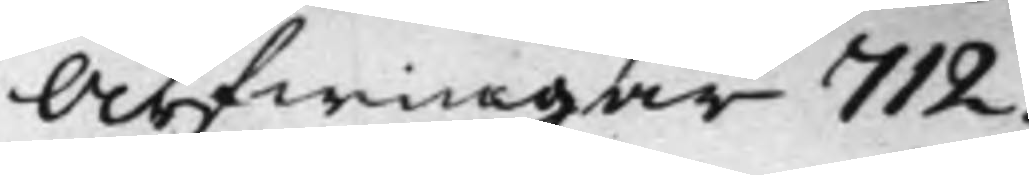Arfwingar 712.
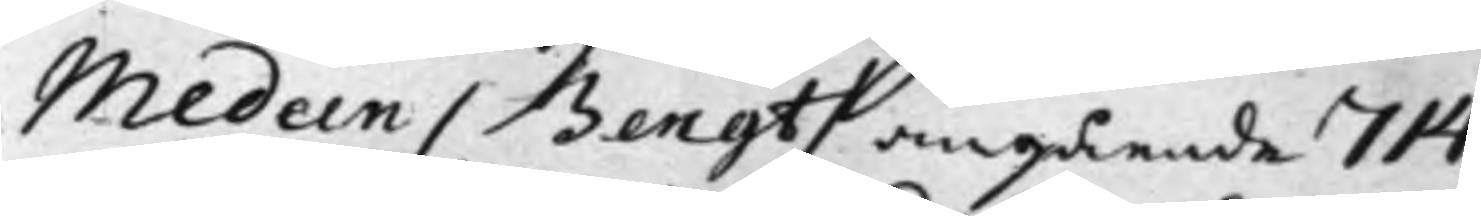Medeen / Bengt / angående 714.
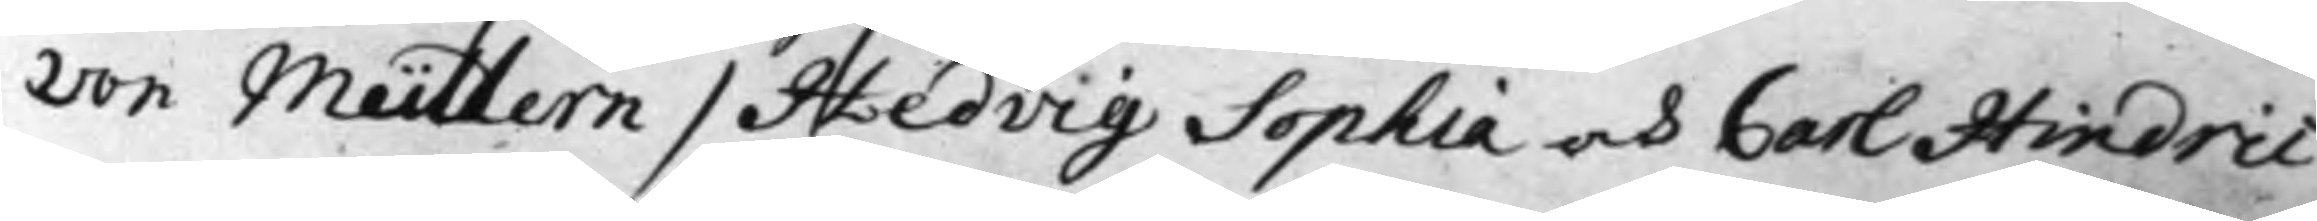von Müllern / Hedvig Sophia och Carl Hindric
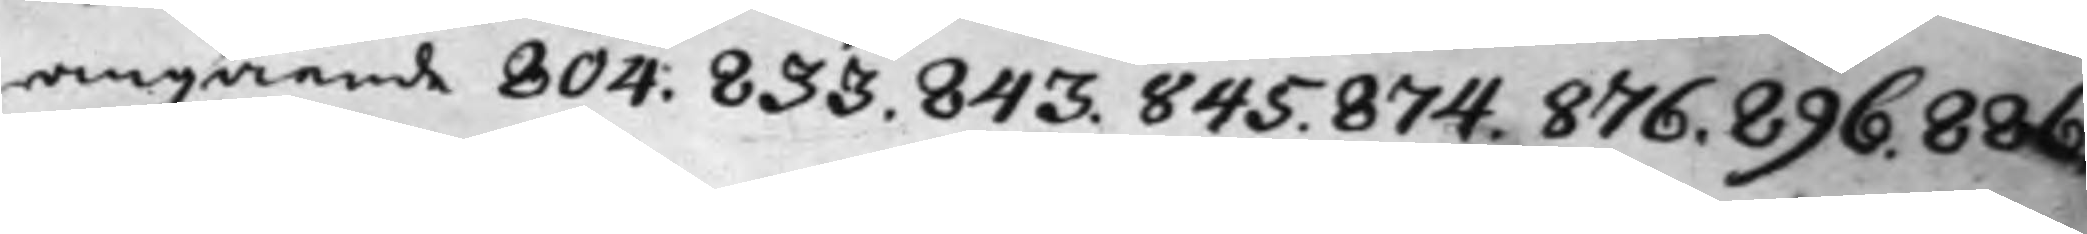angående 804. 833. 843. 845. 874. 876. 896. 886.
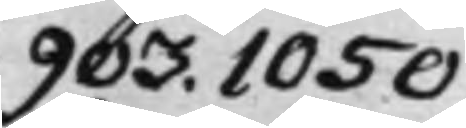903. 1050.
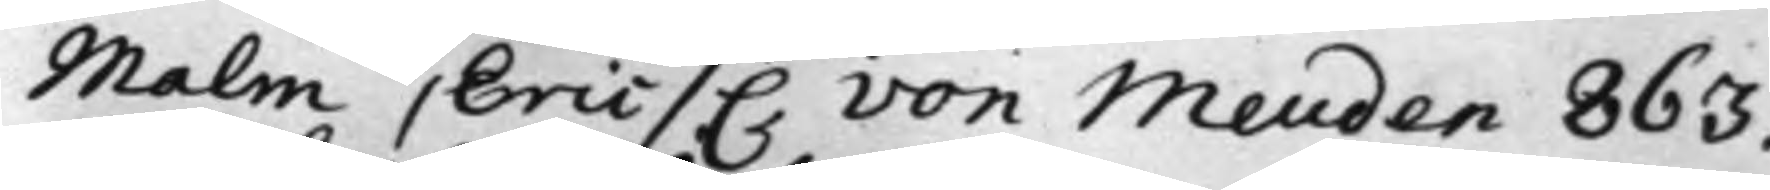Malm / Eric / C von Meuden 863.
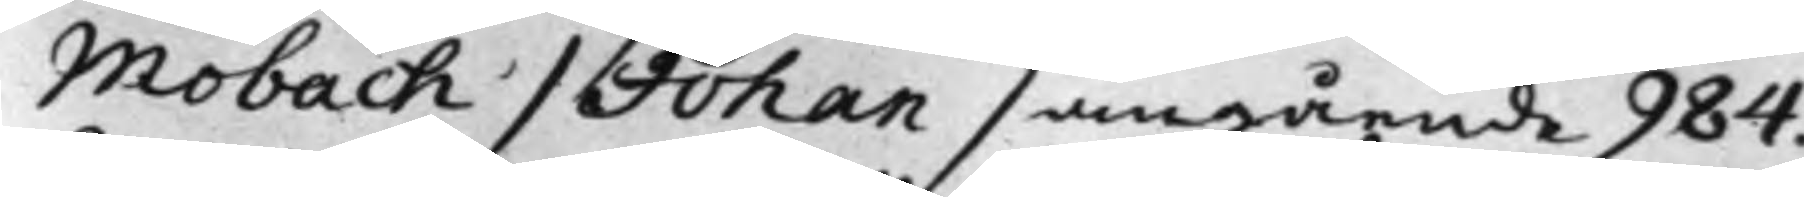Moback / Johan / angående 984.
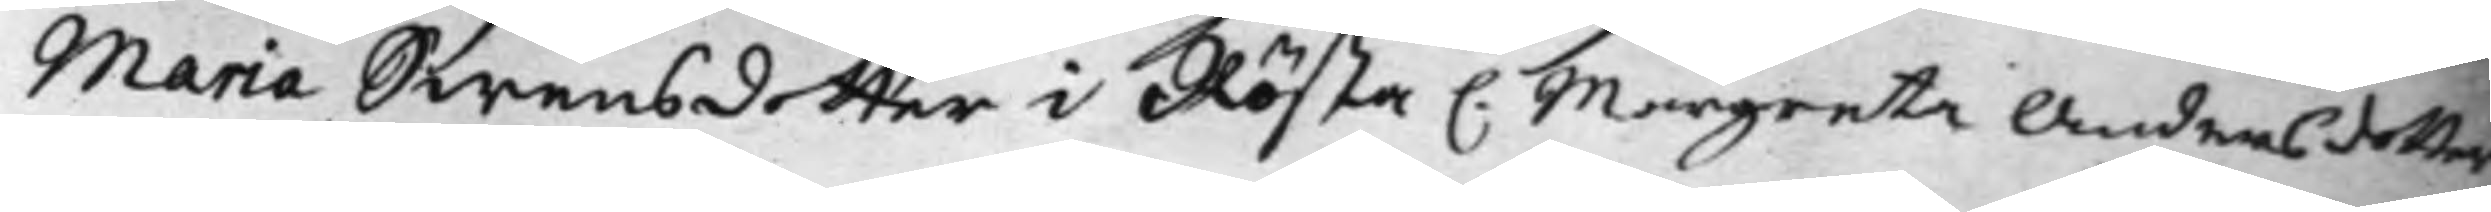Maria Swens dotter i Rösta C. Margareta Anders dotter
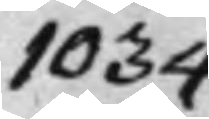1034.
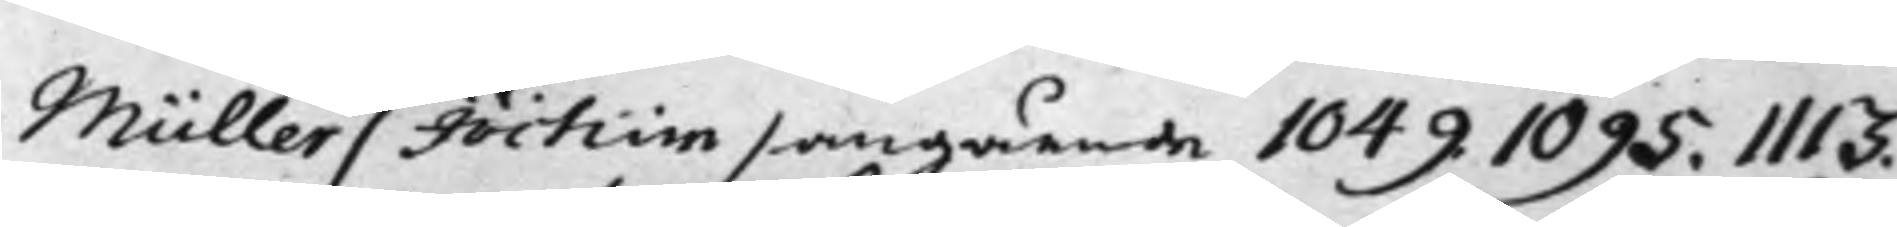Müller / Jochim /angående 1049. 1095. 1113.
